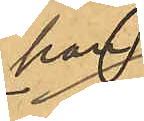han
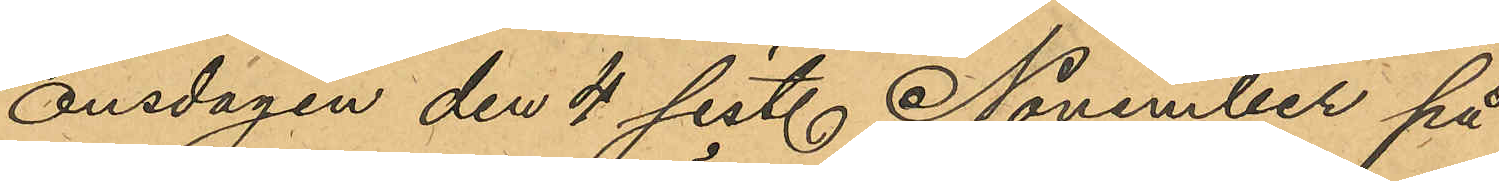onsdagen den 4 sist. November på
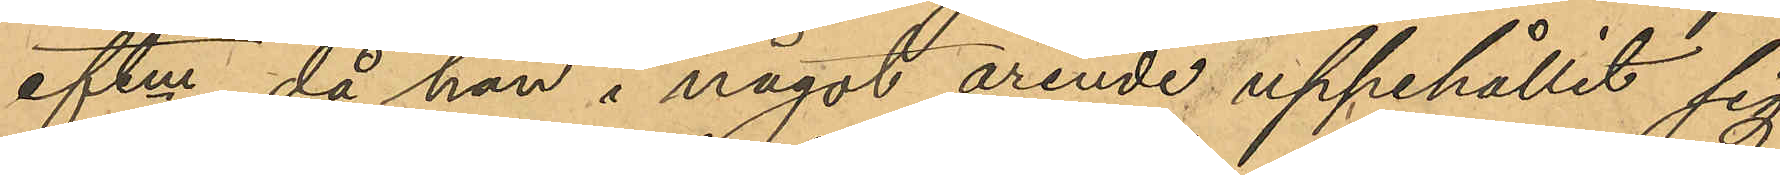eftm, då han i något ärende uppehållit sig
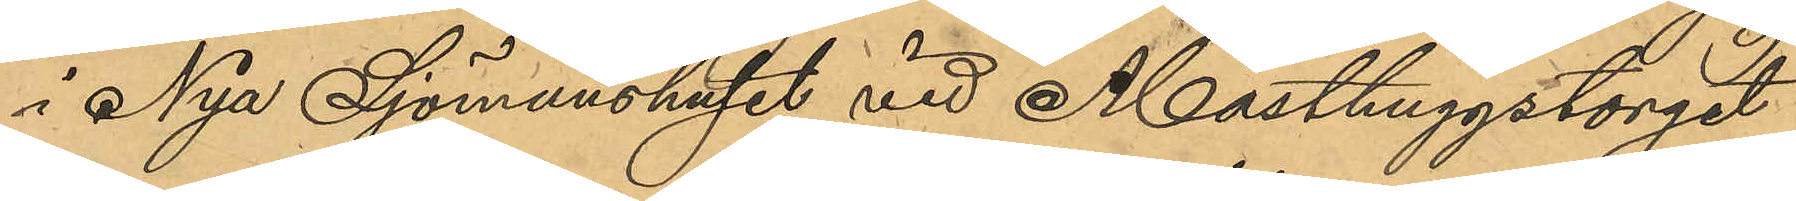i Nya Sjömanshuset vid Masthuggstorget
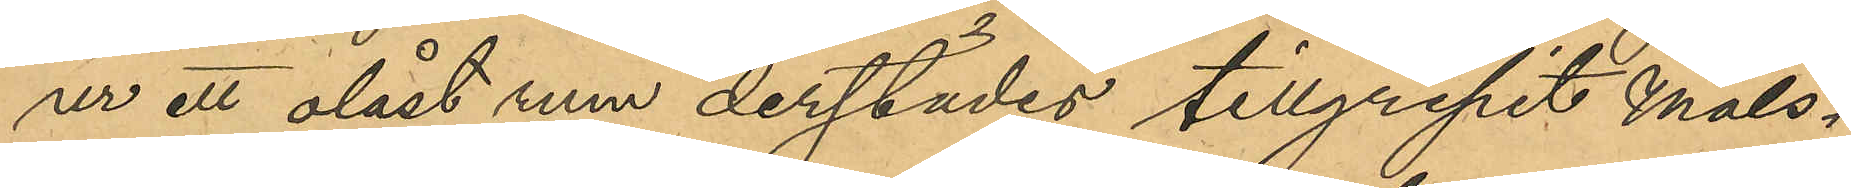ur ett olåst rum derstädes tillgripit Måls¬
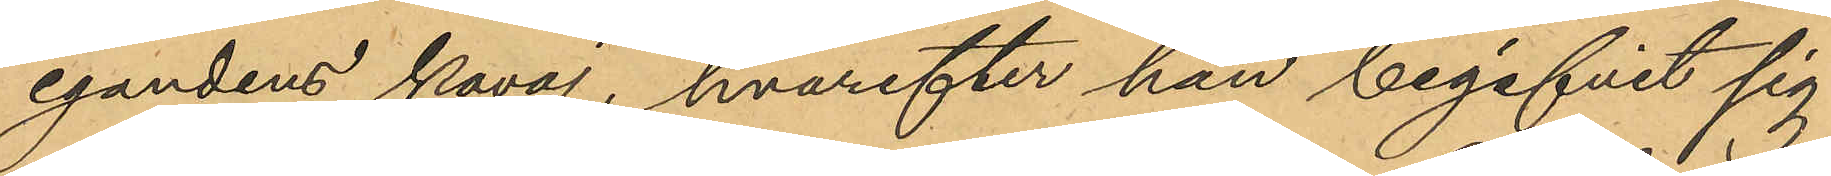egandens kavaj, hvarefter han begifvit sig
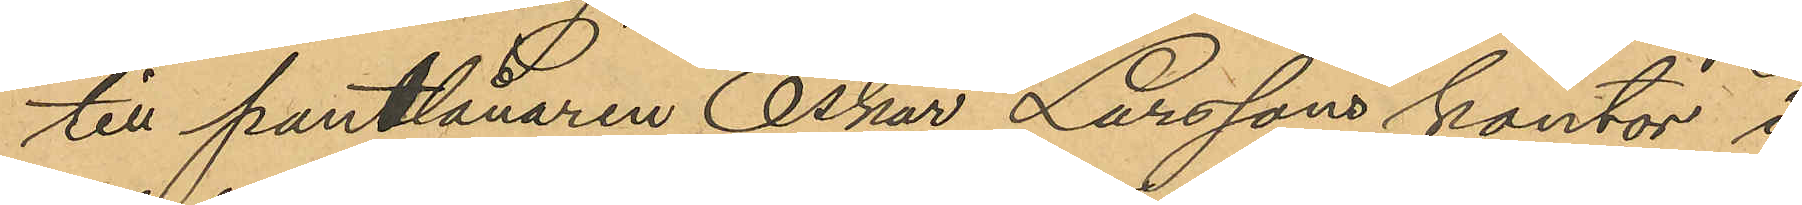till pantlånaren Oskar Larssons kontor i
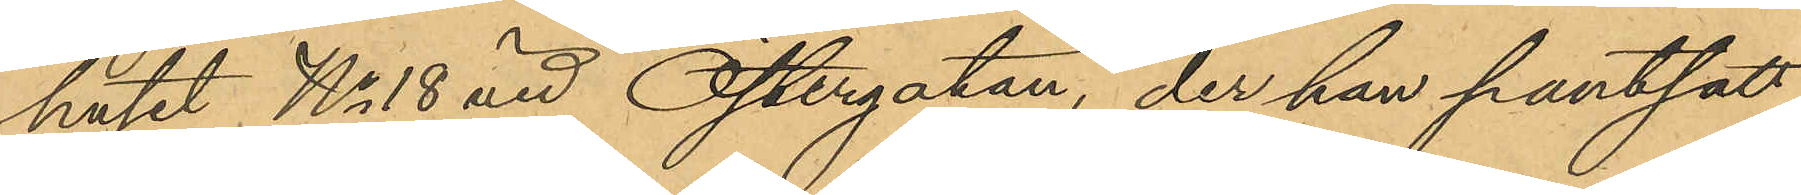huset No 18 vid Östergatan, der han pantsatt
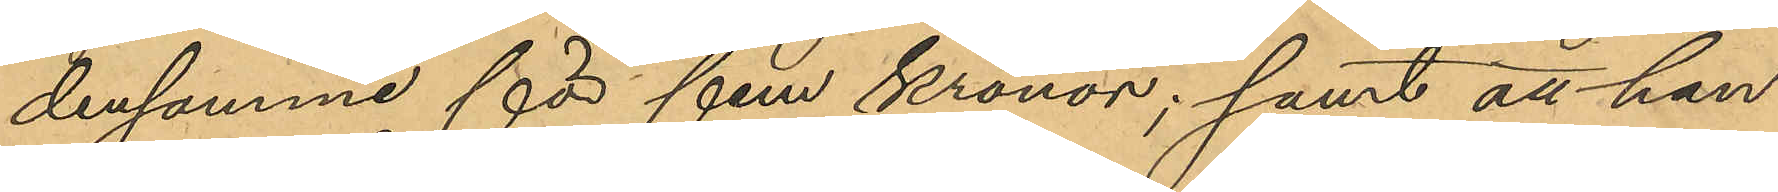densamme för fem kronor; samt att han
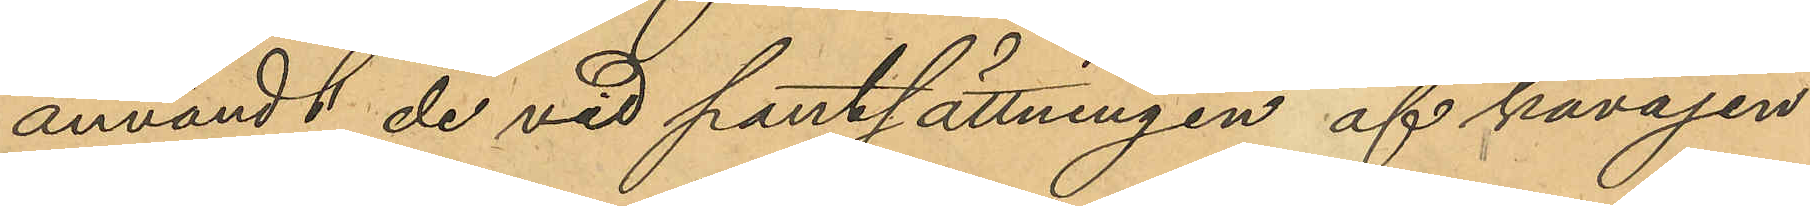användt de vid pantsättningen af kavajen
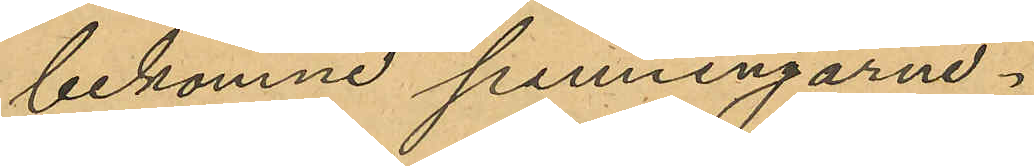bekomne penningarne.
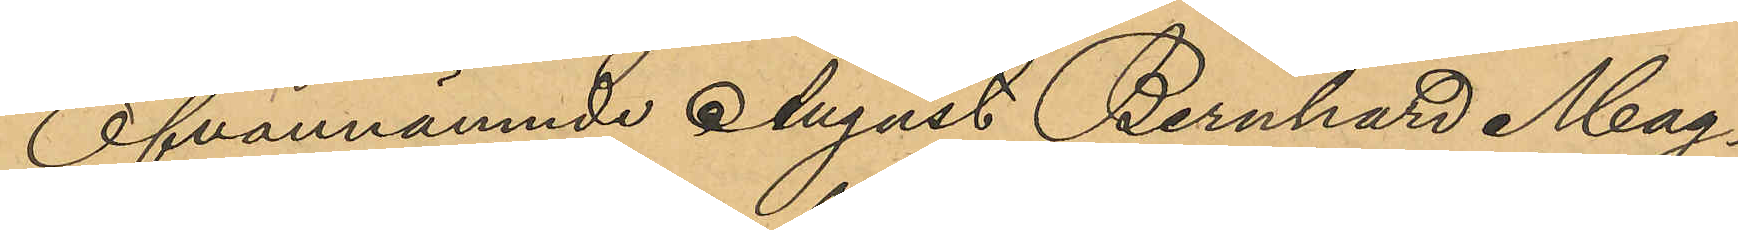Ofvannämnde August Bernhard Mag¬
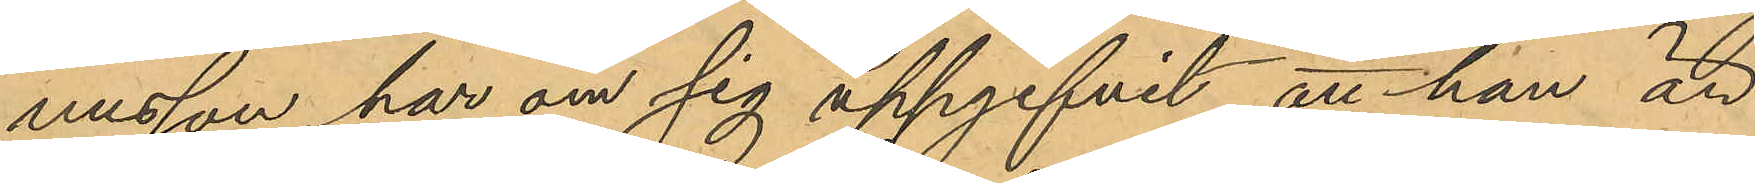nusson har om sig uppgifvit att han är
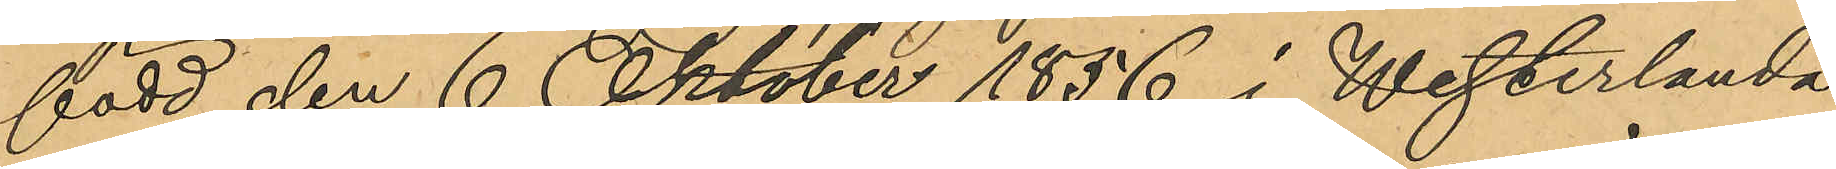född den 6 Oktober 1856 i Westerlanda
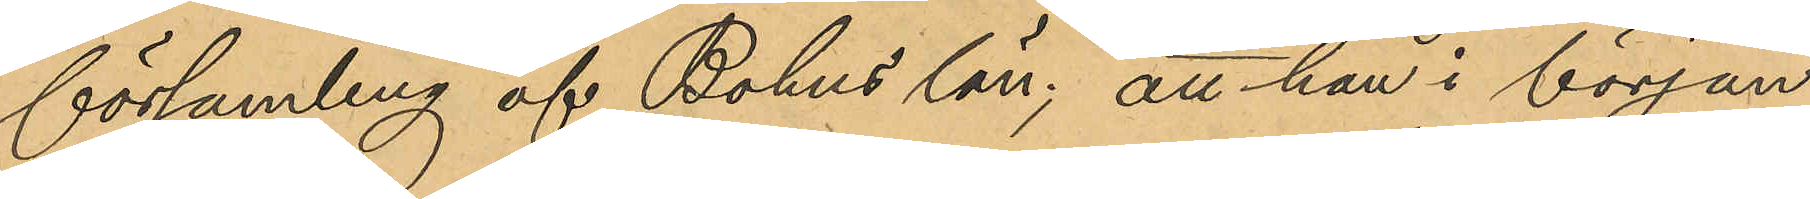församling af Bohus län; att han i början
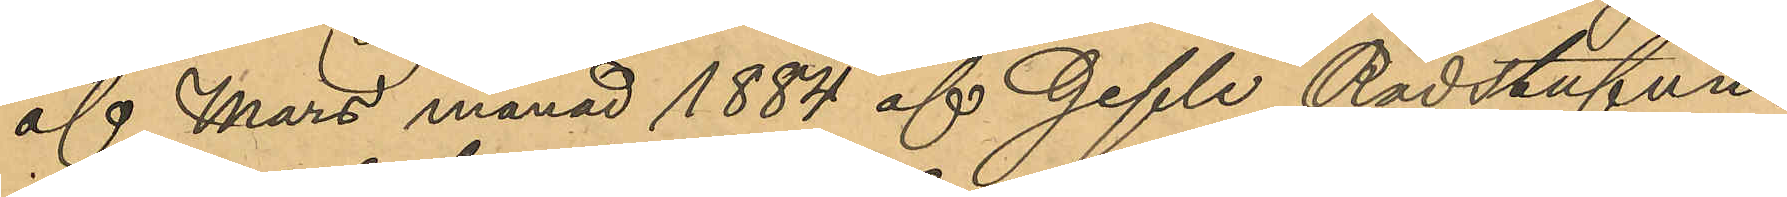af Mars månad 1884 af Gefle Rådstufve¬
